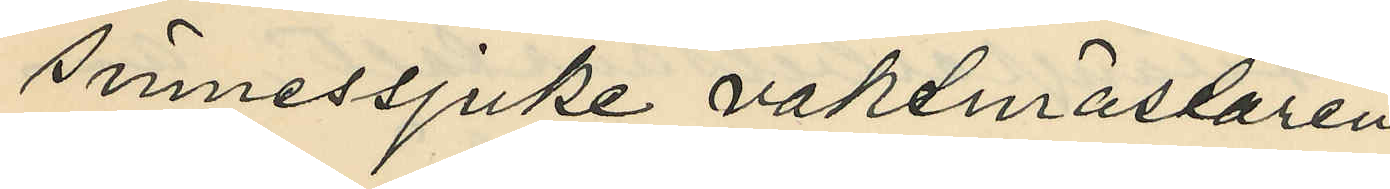sinnessjuke vaktmästaren
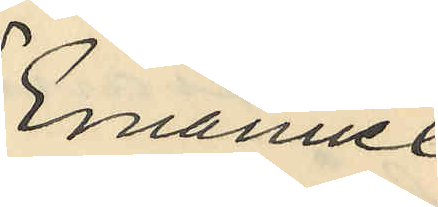Emanuel
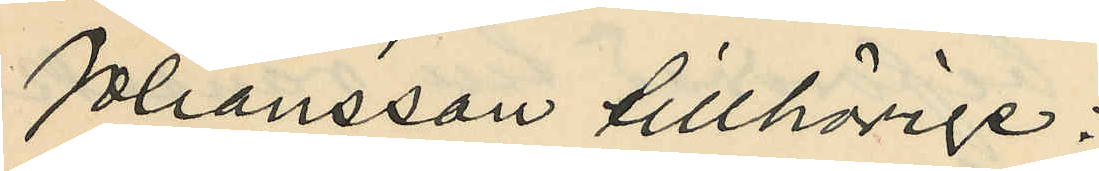Johansson tillhörige:
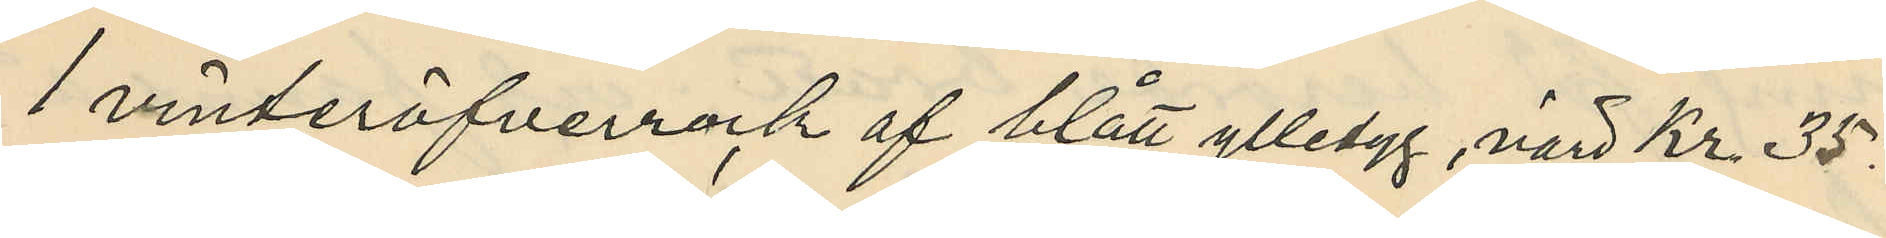1 vinteröfverrock af blått ylletyg, värd Kr. 35:
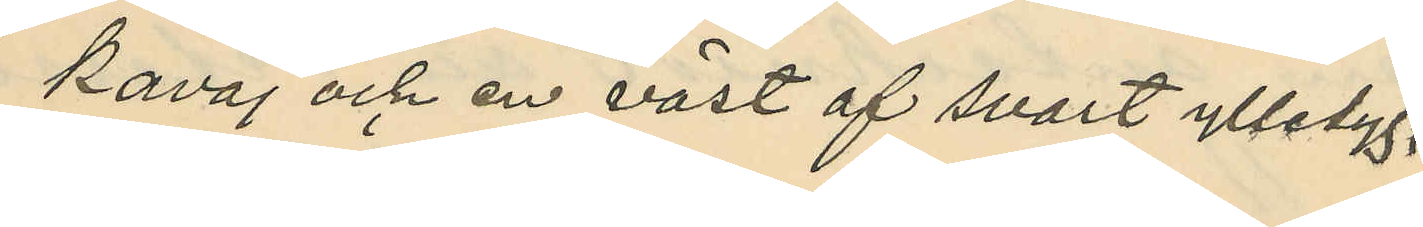1 kavaj och en väst af svart ylletyg,
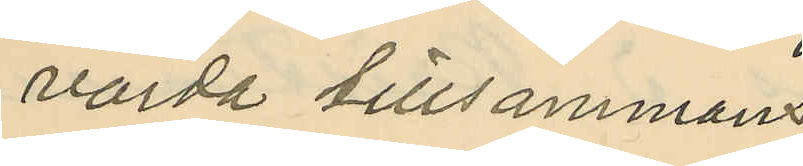värda tillsammans
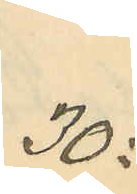30:
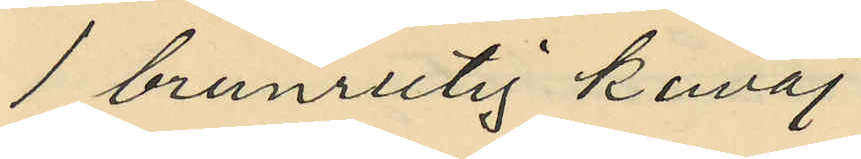1 brunrutig kavaj
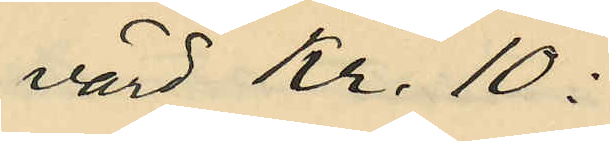värd Kr. 10:
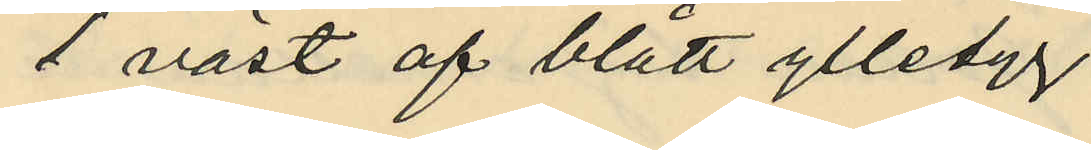1 väst af blått ylletyg
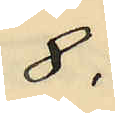8:
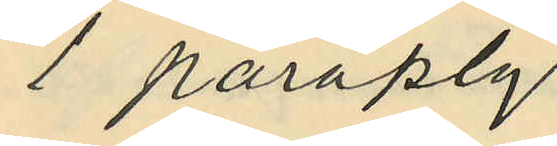1 paraply
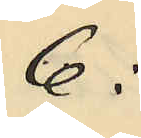6:
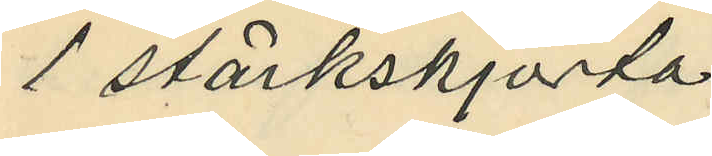1 stärkskjorta
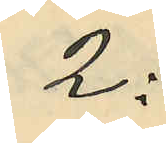2:
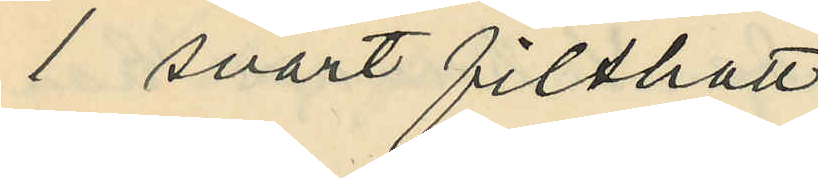1 svart filthatt
